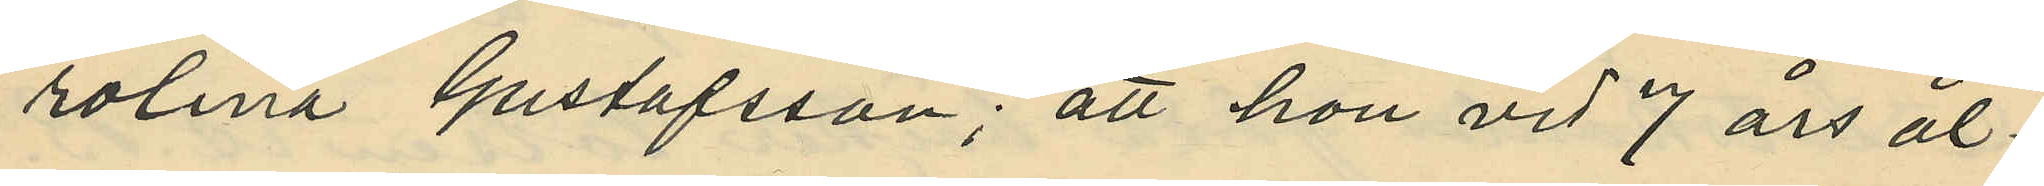rolina Gustafsson; att hon vid 7 års ål¬
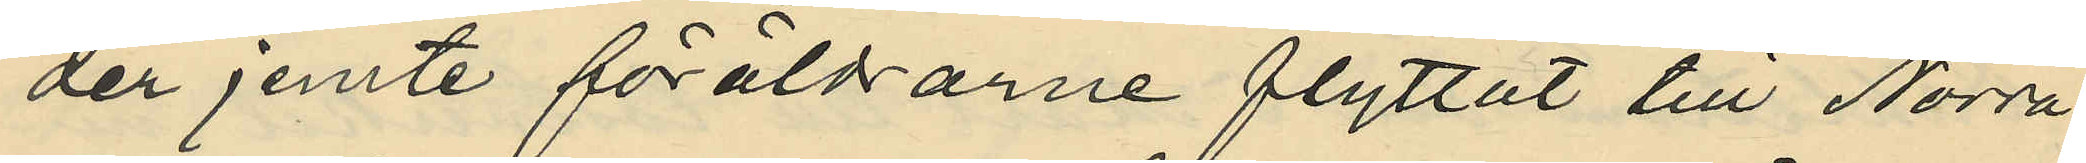der jemte föräldrarne flyttat till Norra
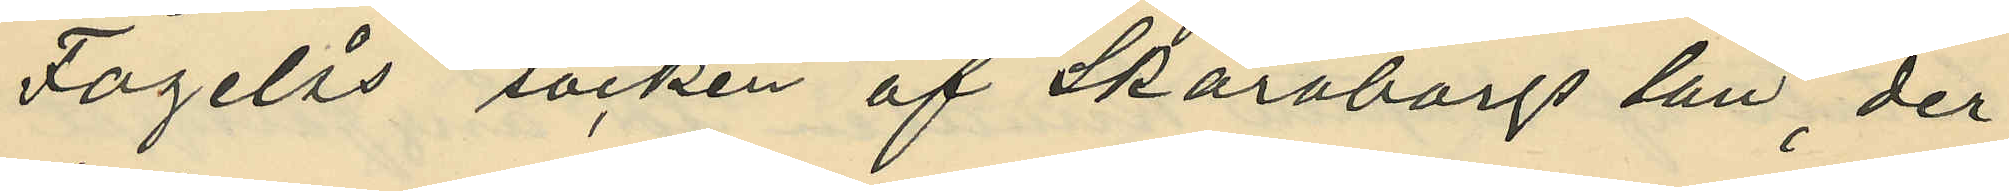Fogelås socken af Skaraborgs län, der
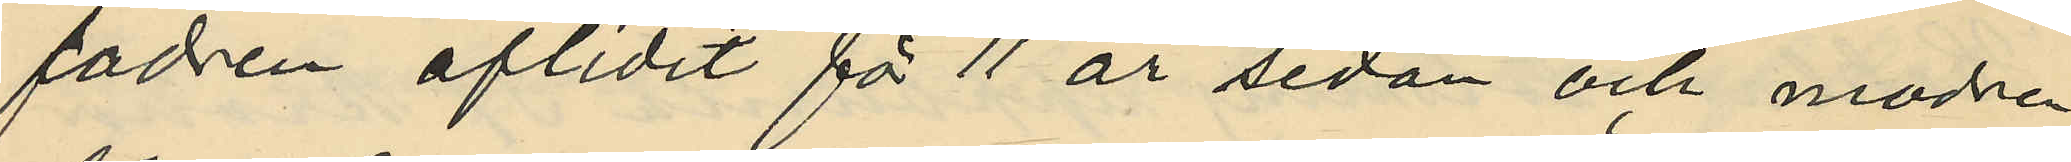fadren aflidit för 11 år sedan och modern
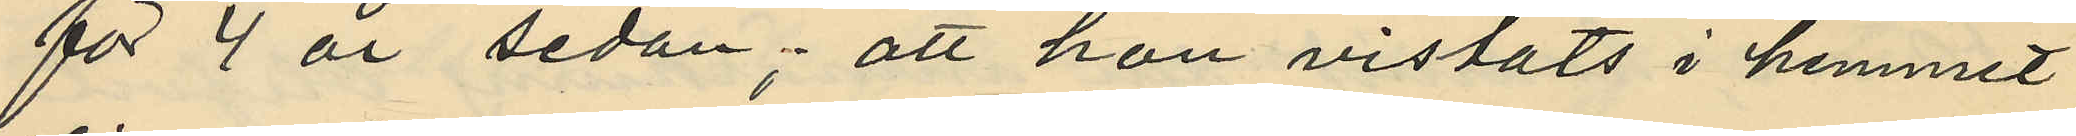för 4 år sedan; att hon vistats i hemmet
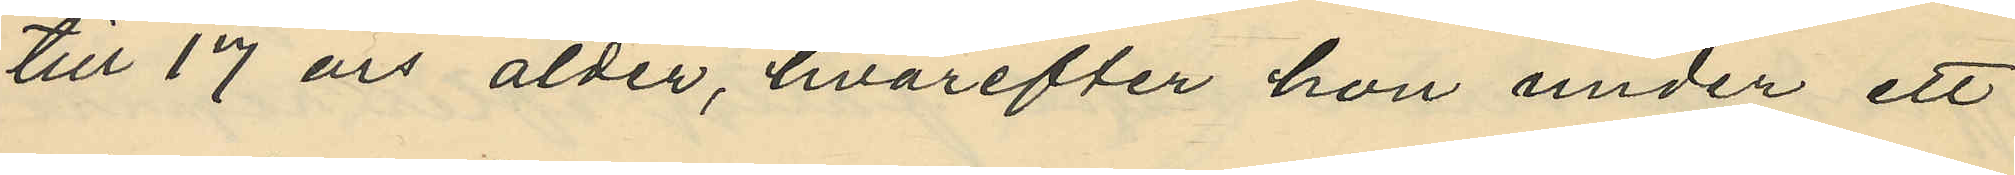till 17 års ålder, hvarefter hon under ett
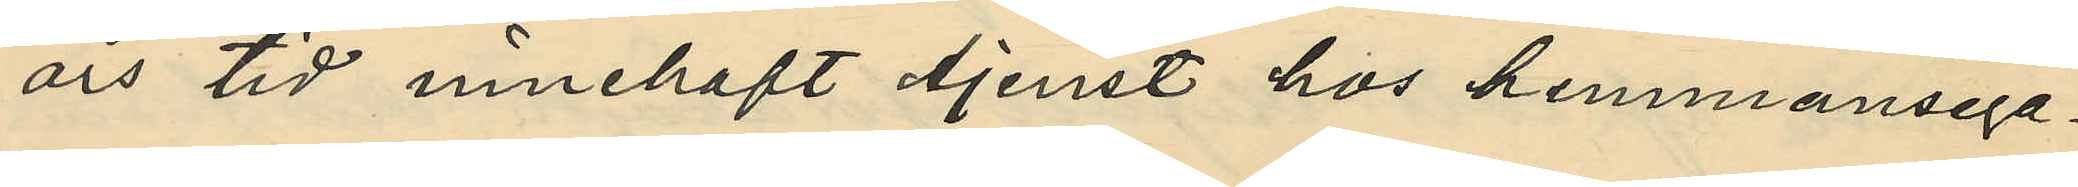års tid innehaft tjenst hos hemmansega¬
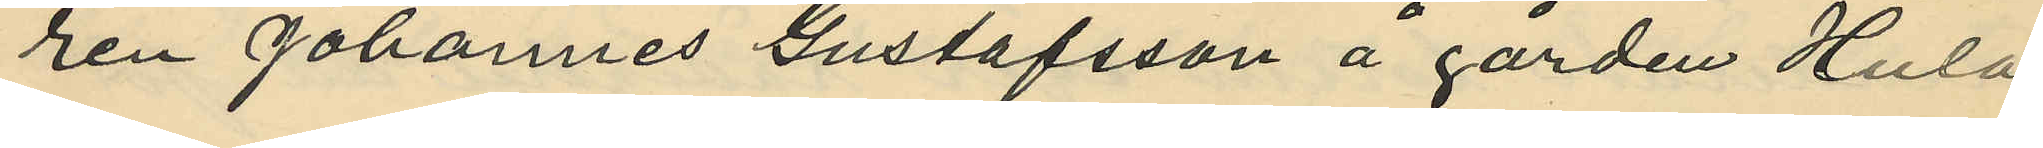ren Johannes Gustafsson å gården Hula
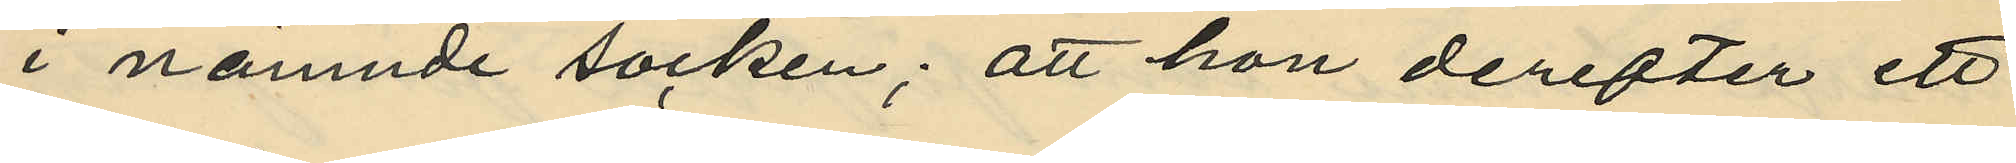i nämnde socken; att hon derefter ett
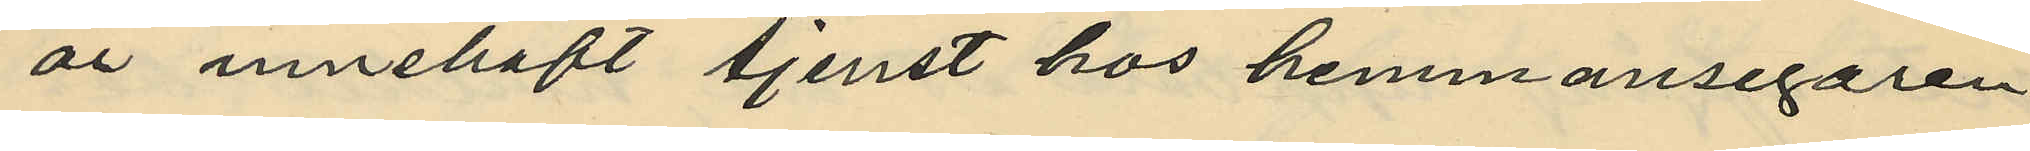år innehaft tjenst hos hemmansegaren
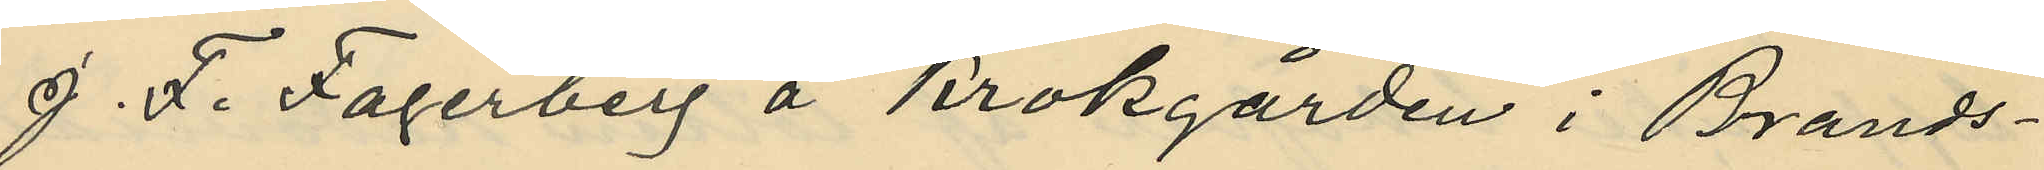J. F. Fagerberg å Krokgården i Brands¬
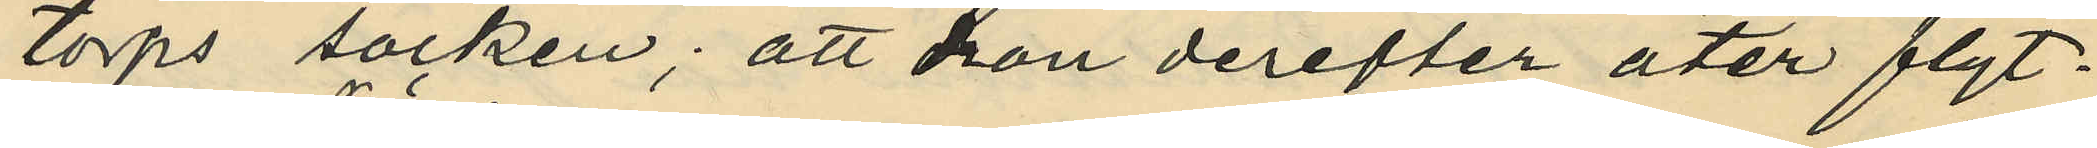torps socken; att hon derefter åter flyt¬
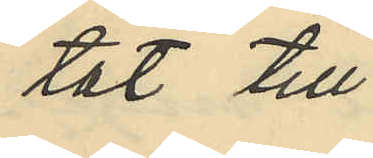tat till
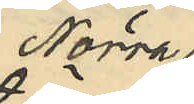Norra
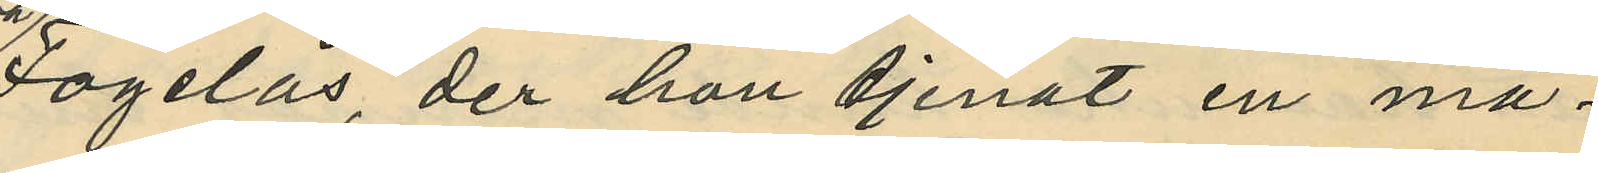Fogelås, der hon tjenat en må¬
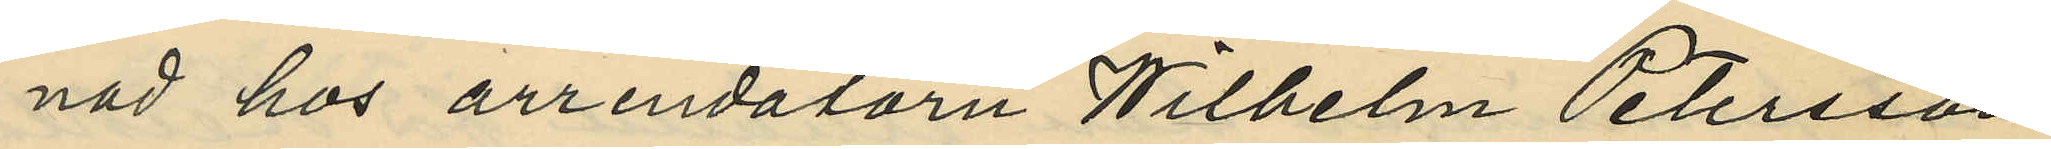nad hos arrendatorn Wilhelm Petersson;
